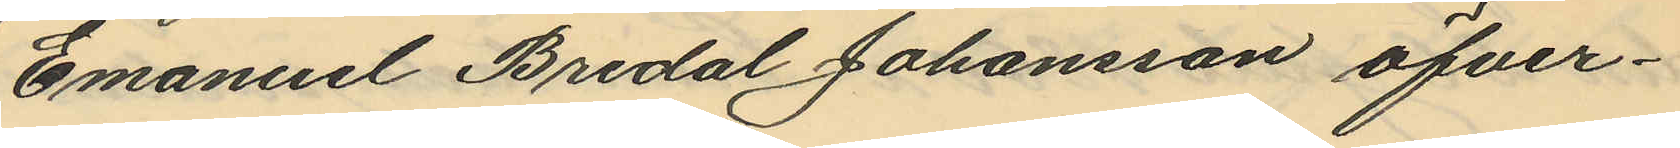Emanuel Bredal Johansson öfver¬
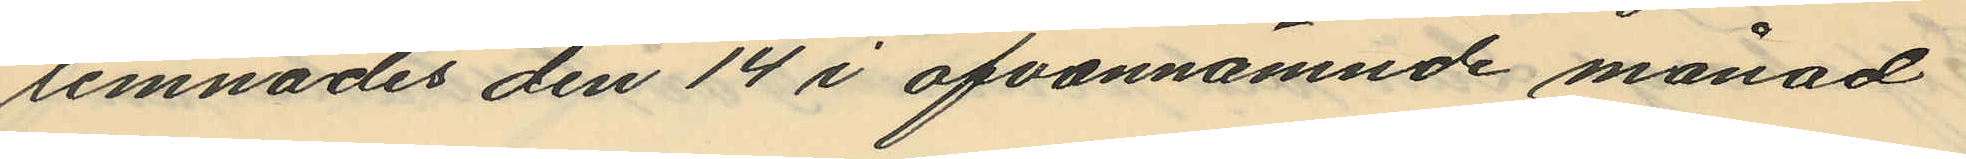lemnades den 14 i ofvannämnde månad
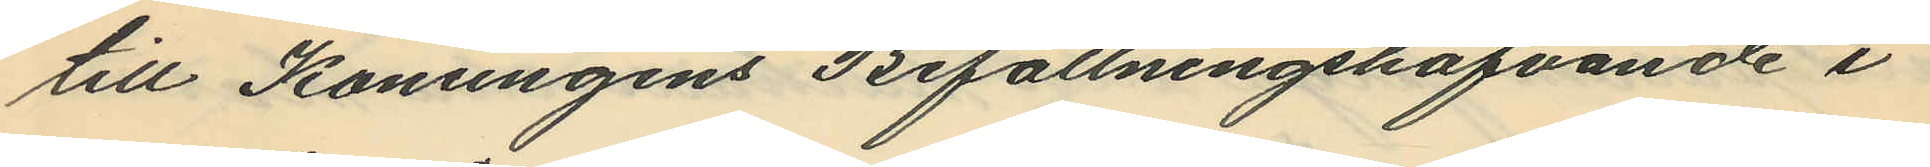till Konungens Befallningshafvande i
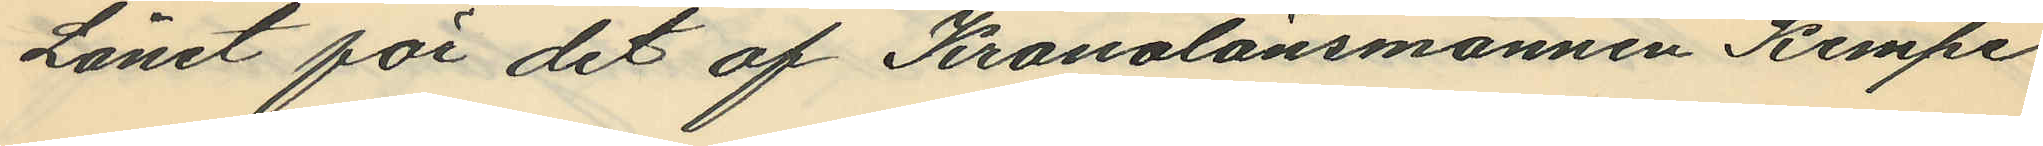Länet för det af Kronolänsmannen Kempe
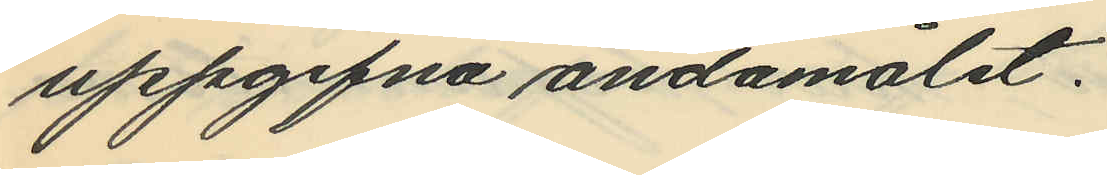uppgifna ändamålet.
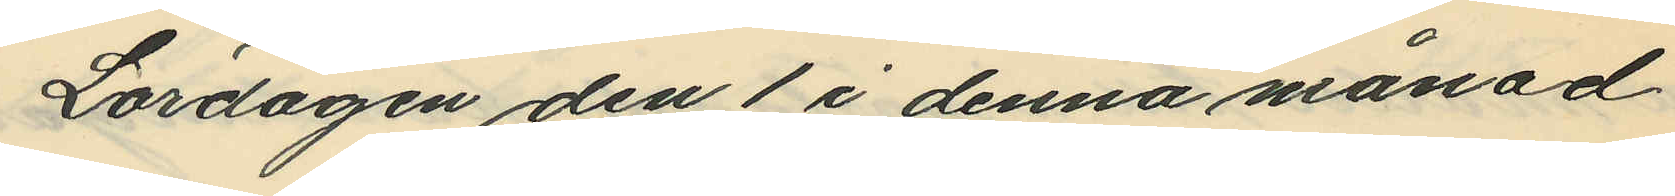Lördagen den 1 i denna månad
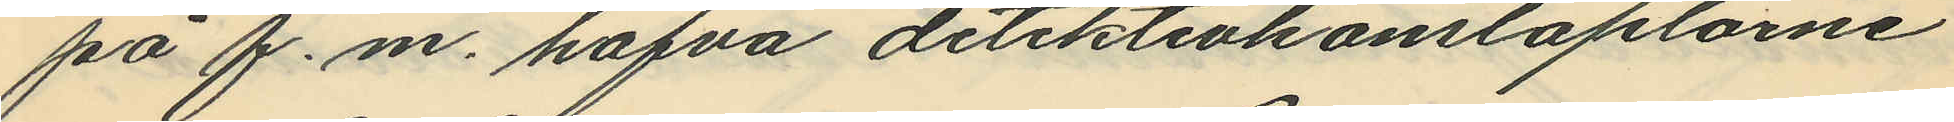på f.m. hafva detektivkonstaplarne
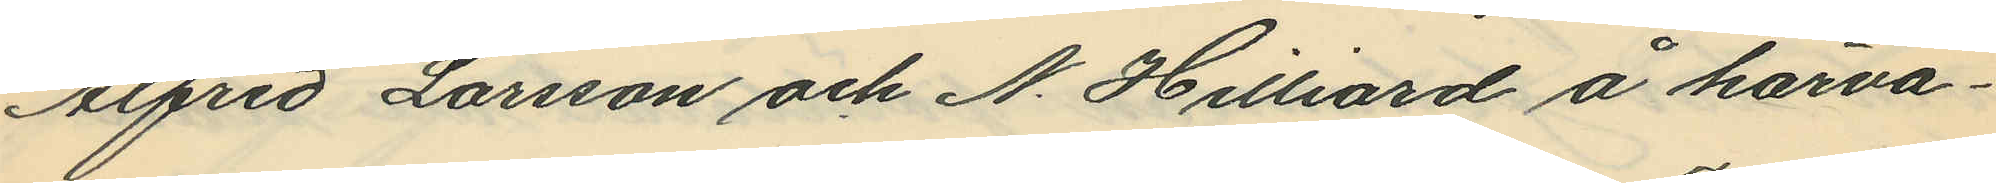Alfred Larsson och N. Hilliard å härva¬
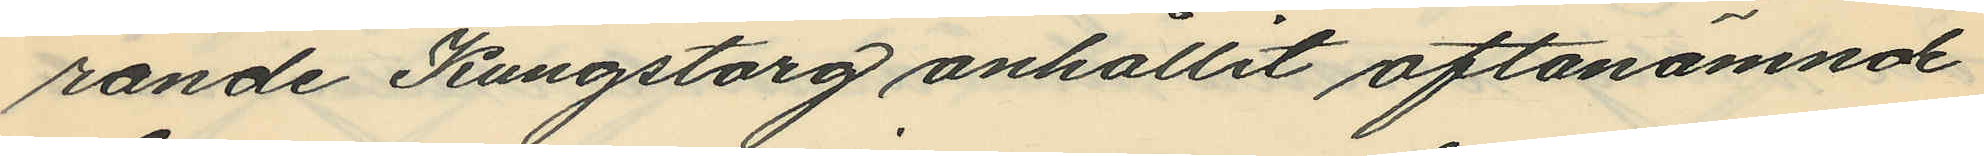rande Kungstorg anhållit oftanämnde
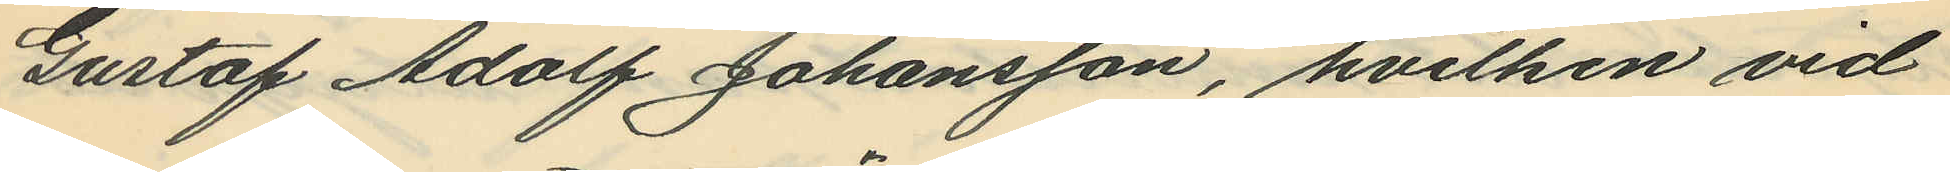Gustaf Adolf Johansson, hvilken vid
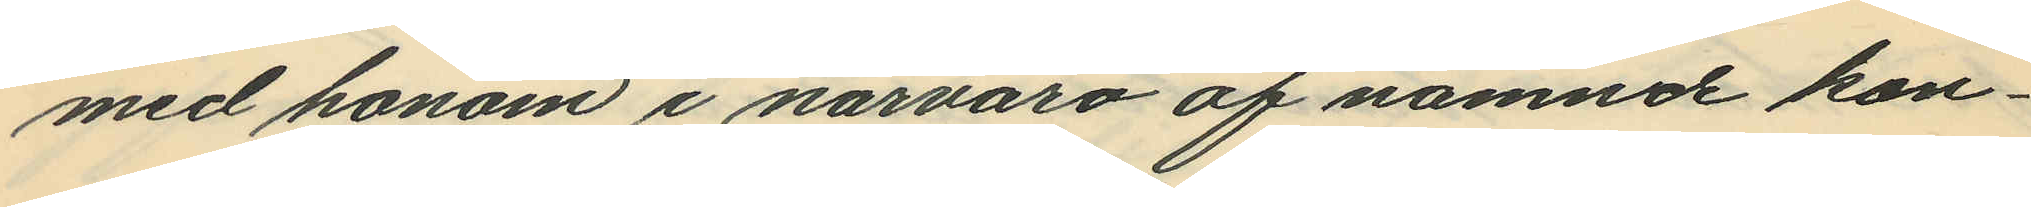med honom i närvaro af nämnde kon¬
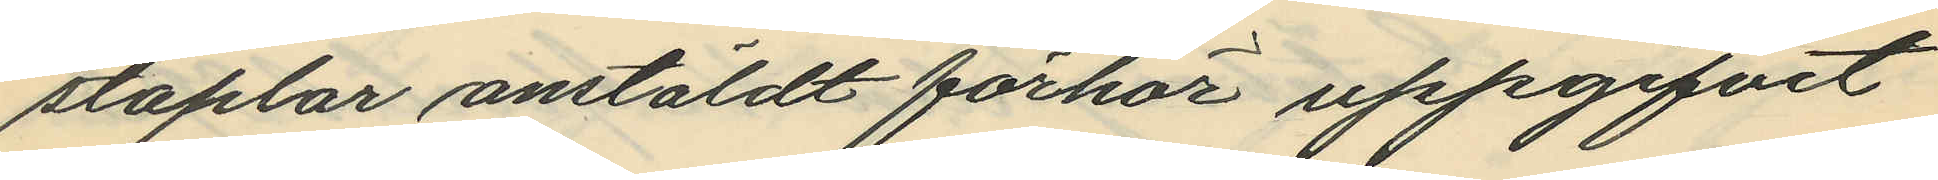staplar anstäldt förhör uppgifvit
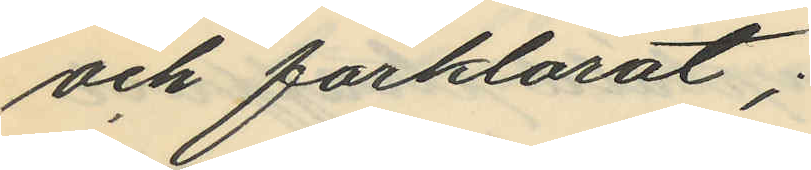och förklarat;
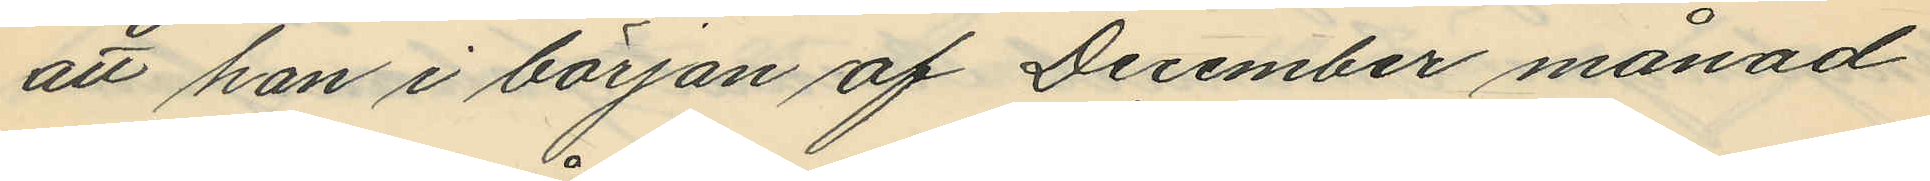att han i början af December månad
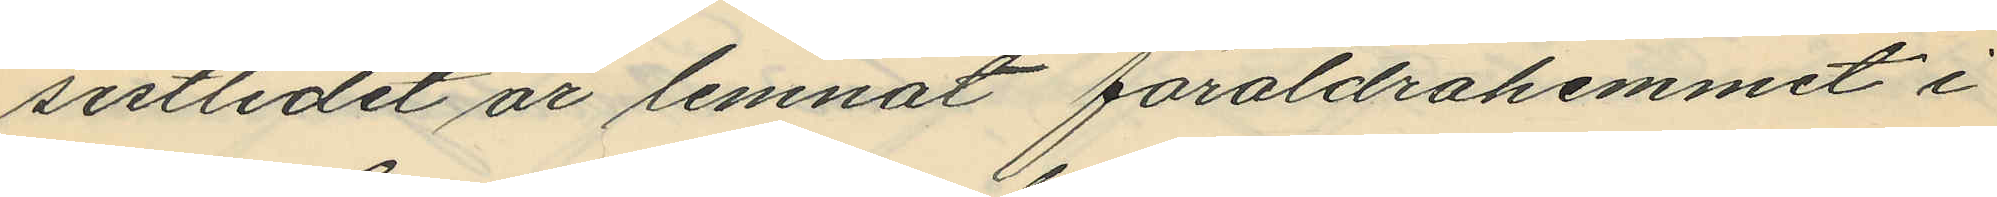sistlidet år lemnat föräldrahemmet i
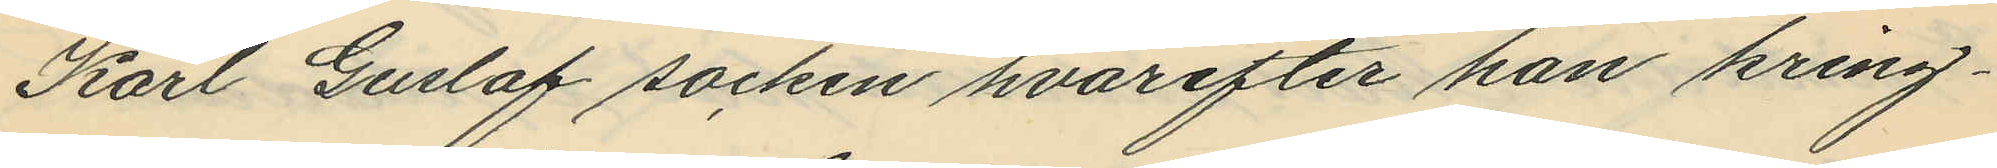Karl Gustaf socken hvarefter han kring¬
